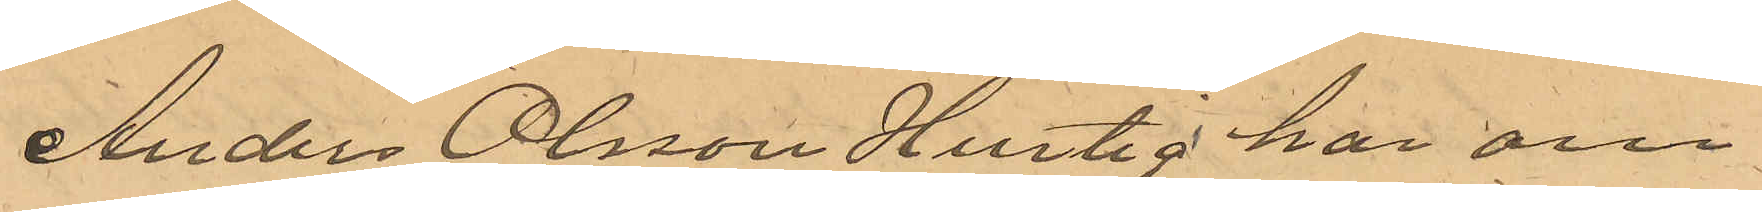Anders Olsson Hurtig har om 
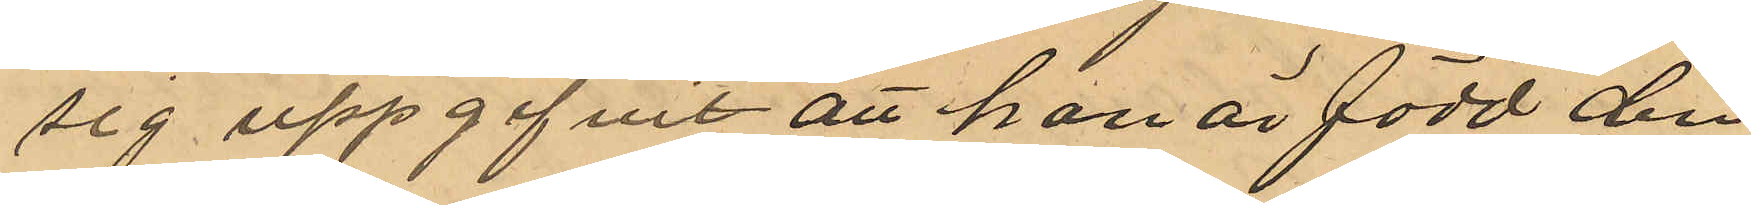sig uppgifvit att han är född den
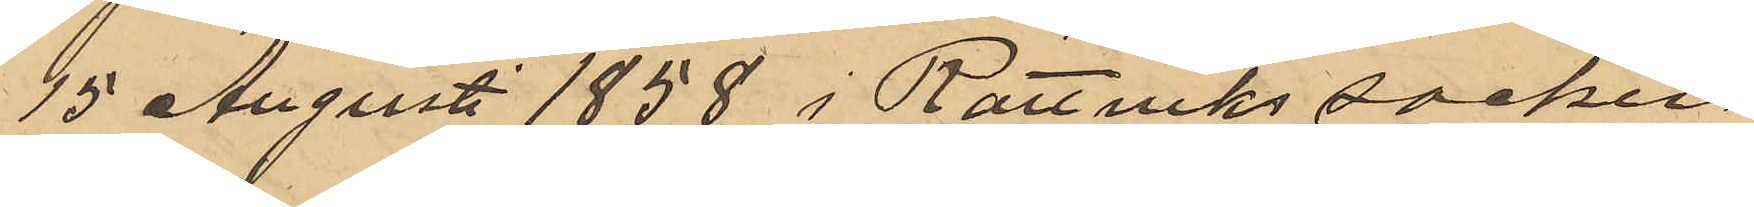15 Augusti 1858 i Rättviks socken
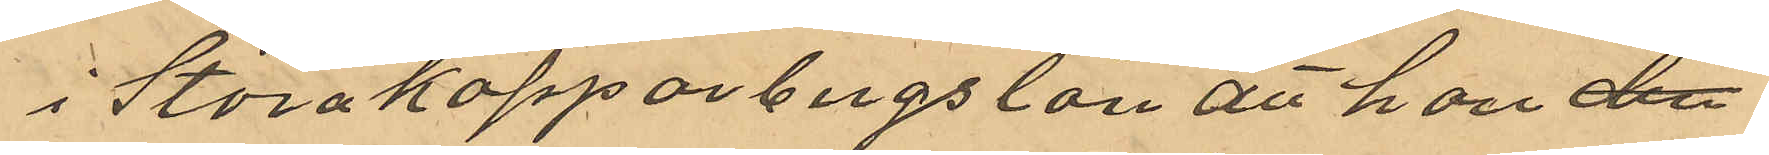i Stora Kopparbergs län att han dec
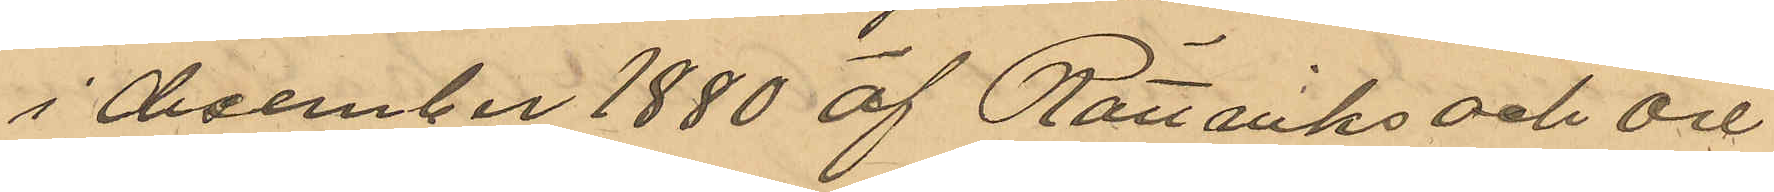i december 1880 af Rättviks och Ore 
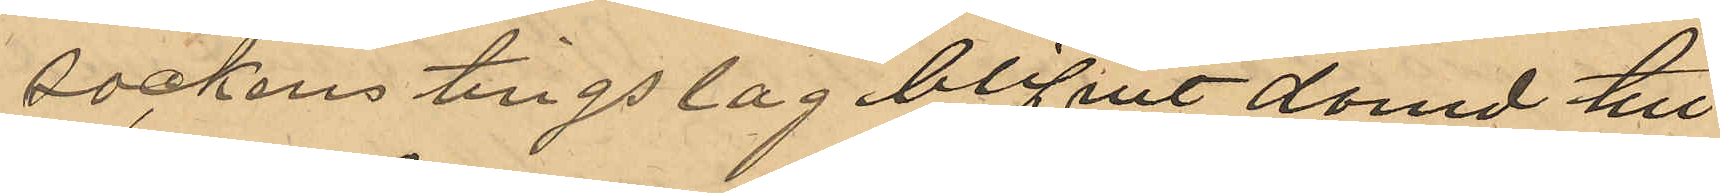sockens tingslag blifvit dömd till
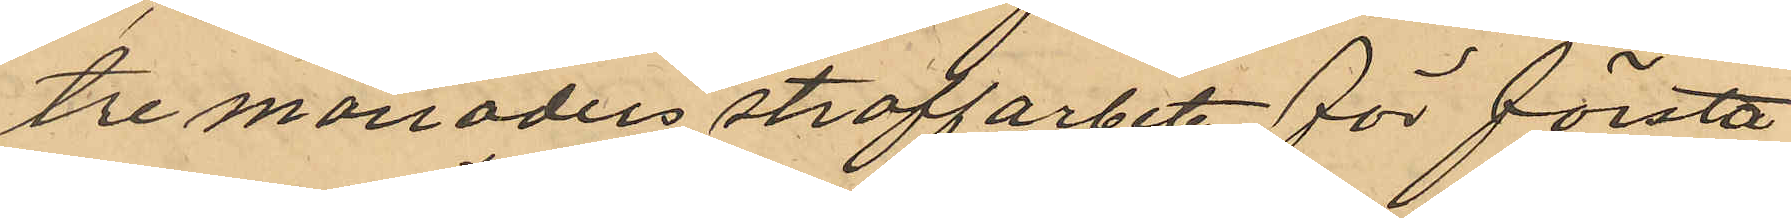tre månaders straffarbete för första
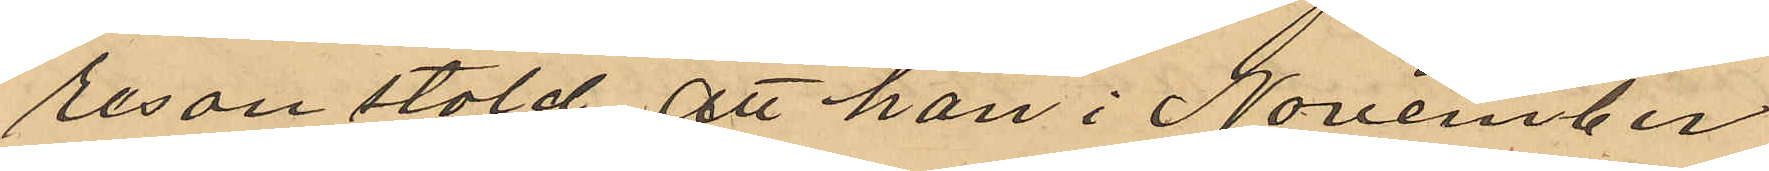resan stöld, att han i November
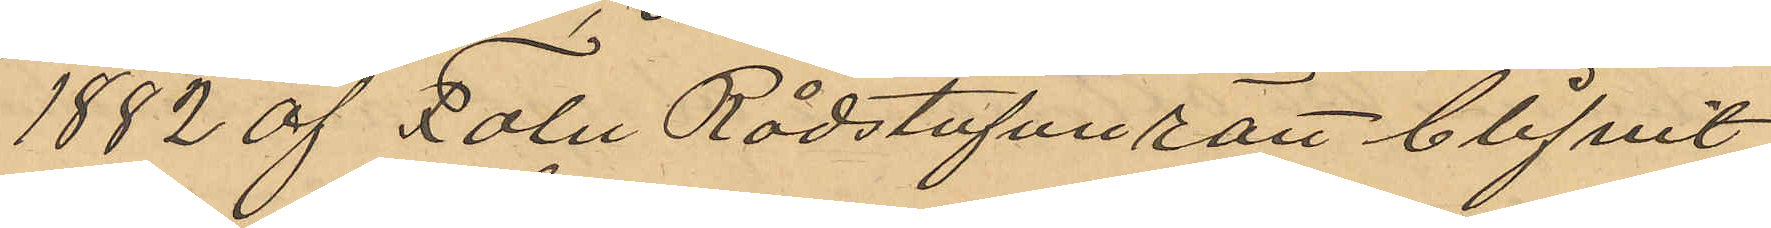1882 af Falu Rådstufvurätt blifvit
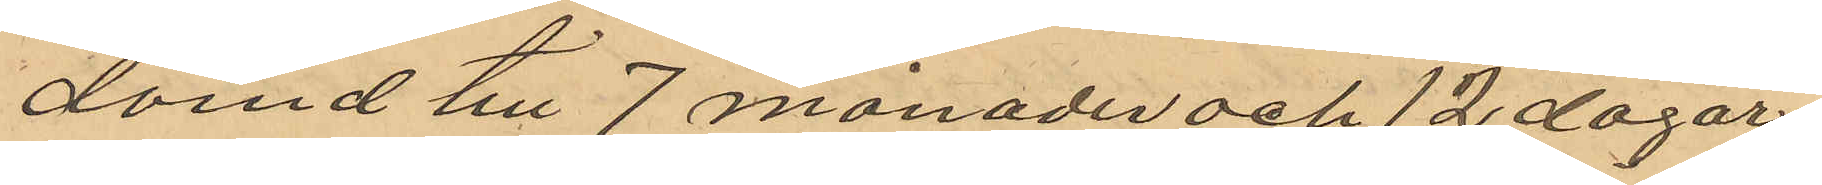dömd till 7 månader och 12 dagars
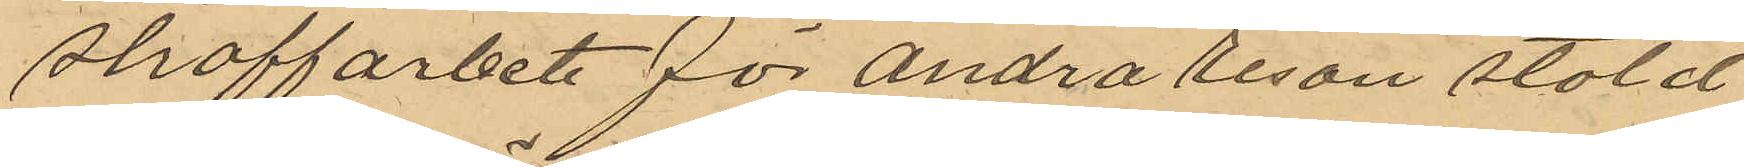straffarbete för andra resan stöld
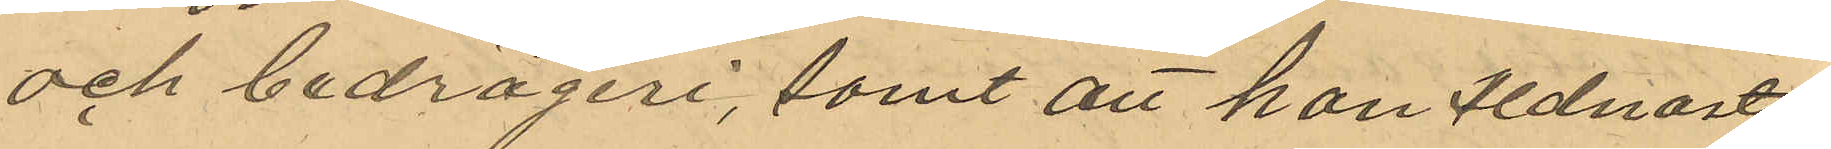och bedrägeri, samt att han sednast
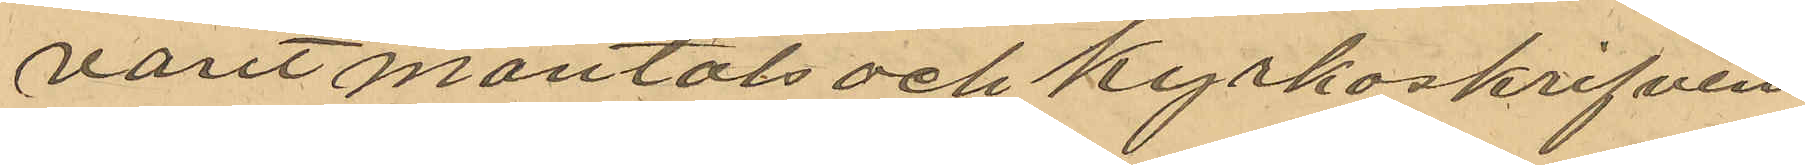varit mantals och kyrkoskrifven
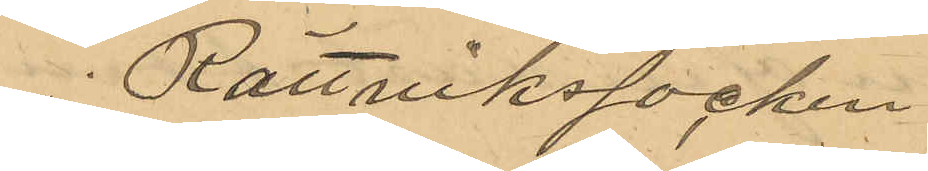i Rättviks socken.
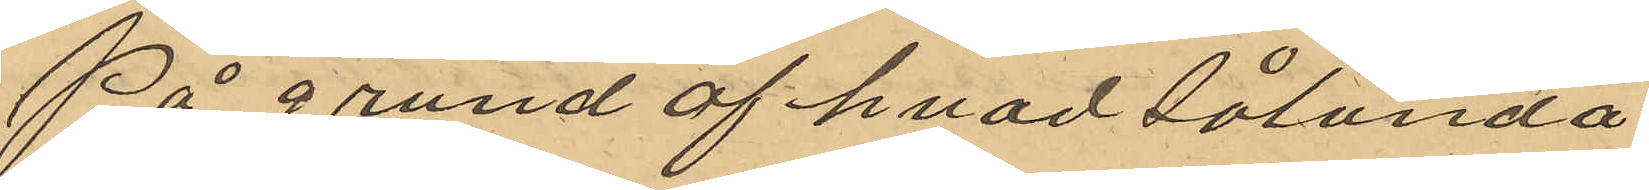På grund af hvad sålunda
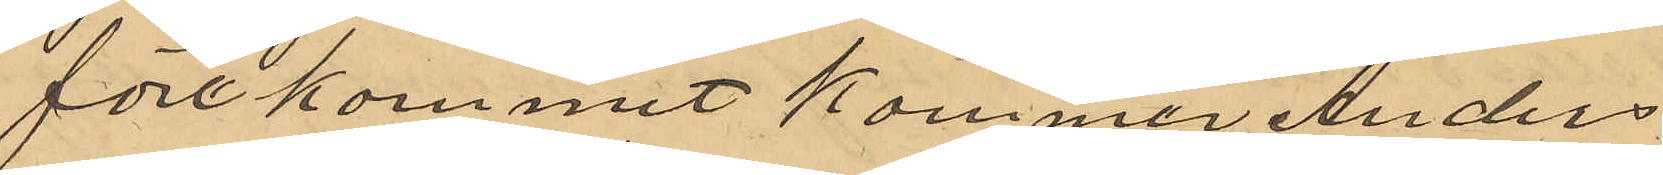förekommit kommer Anders 
